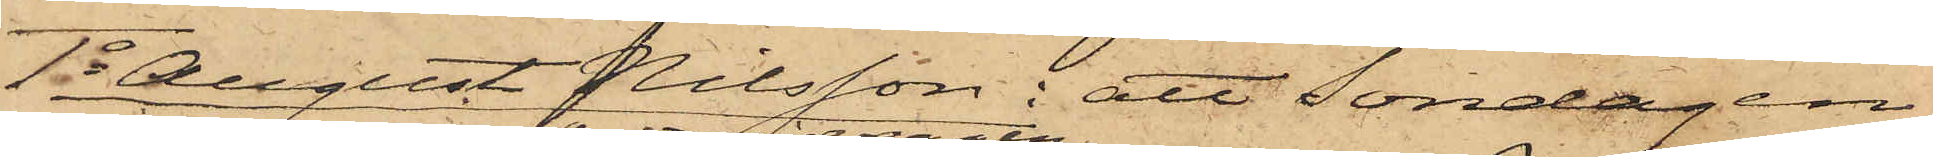1o August Nilsson: att Söndagen
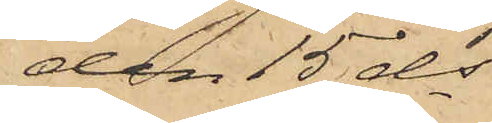den 15 ds
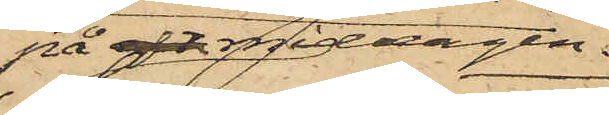på eft. middagen
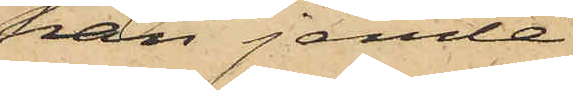han jemte
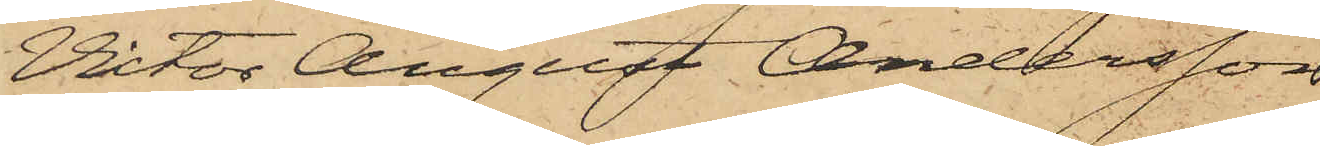Victor August Andersson
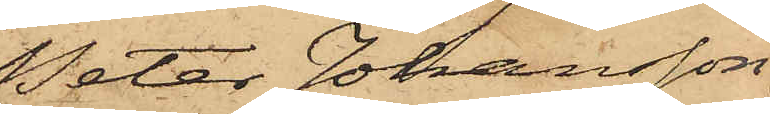Peter Johansson,
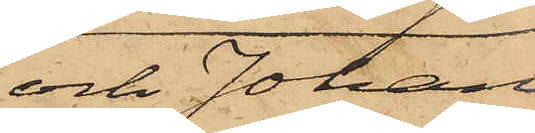och Johan
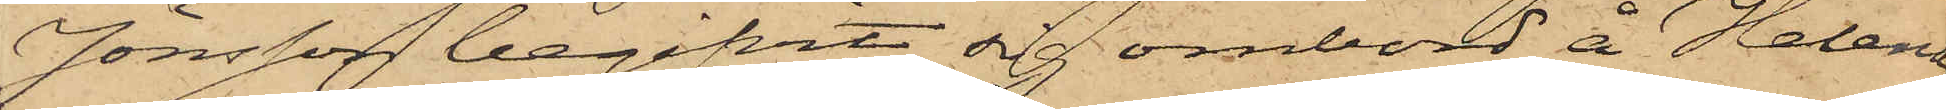Jönsson begifvit sig ombord å Helena,
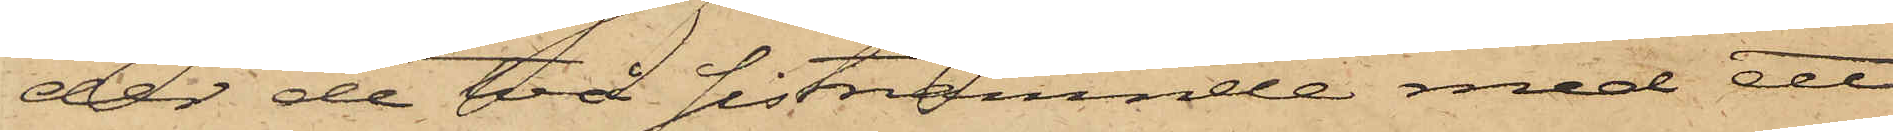der de två sistnämnde med ett
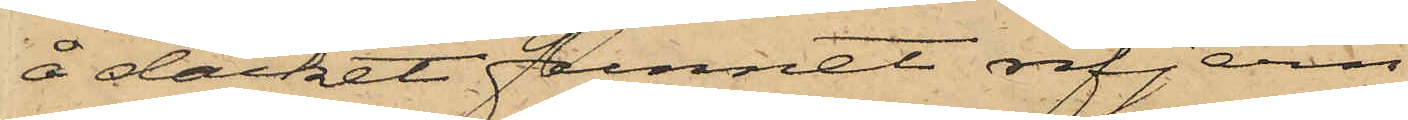å däcket funnet rifjern
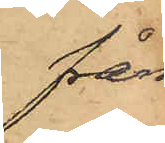från¬
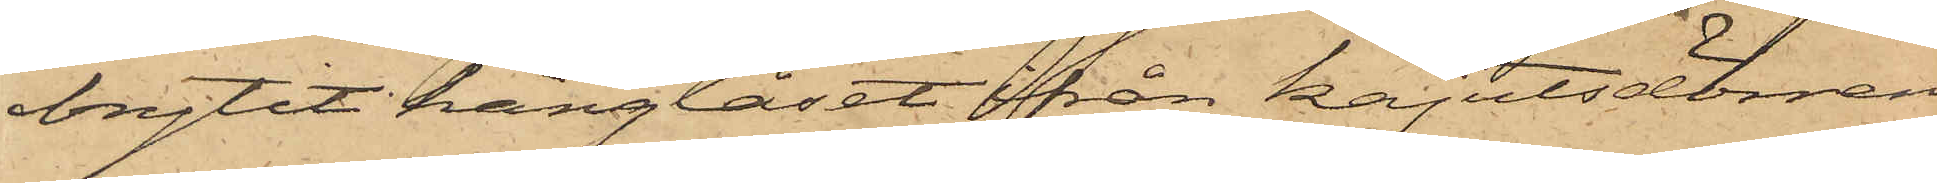brytit hänglåset från kajutsdörren
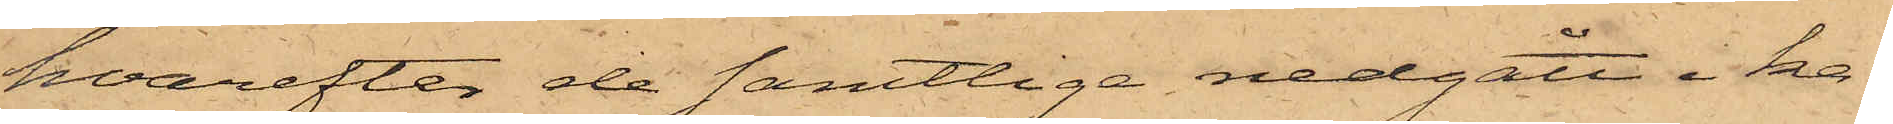hvarefter de samtliga nedgått i ka¬
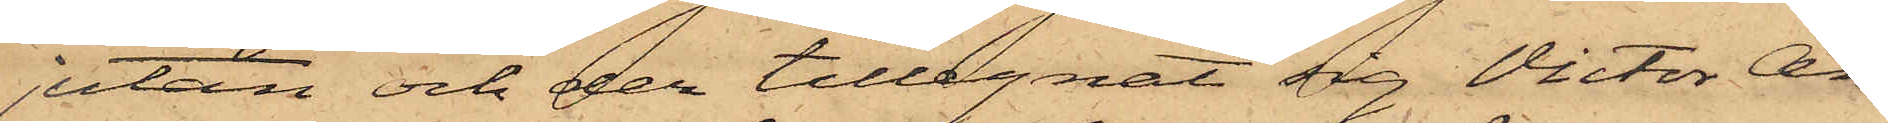jutan och der tillegnat sig Victor An¬
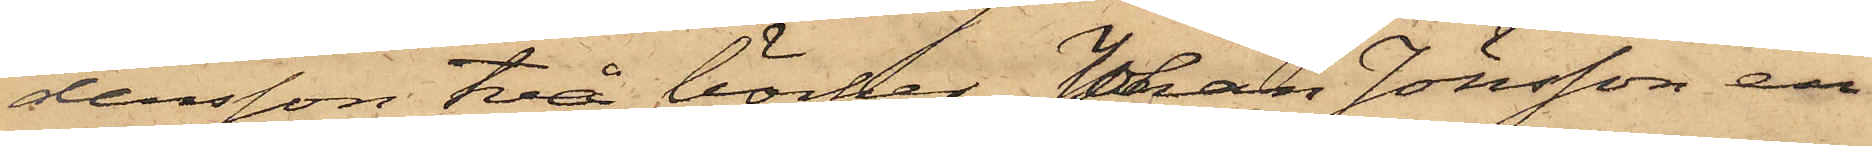dersson två böcker, Johan Jönsson en
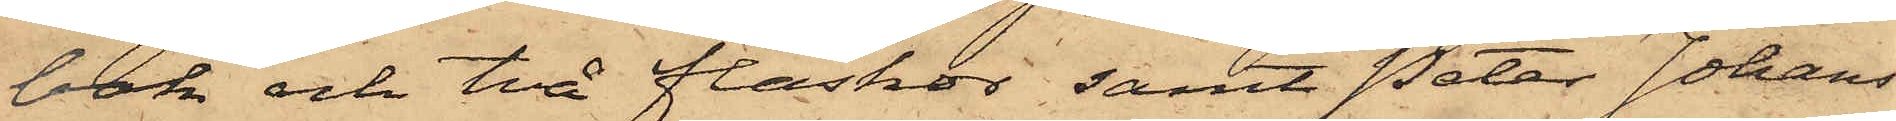bok och två flaskor samt Peter Johans¬
